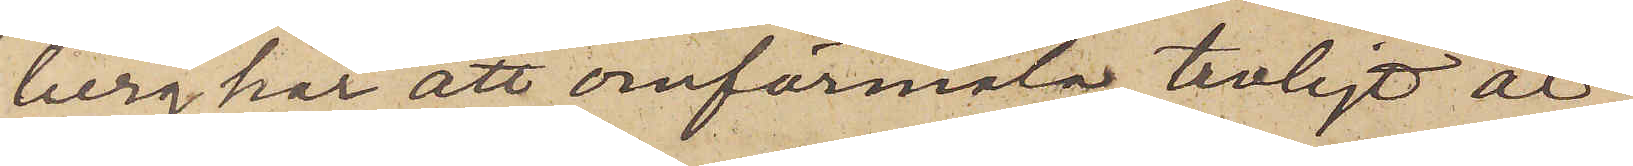berg har att omförmäla troligt är,
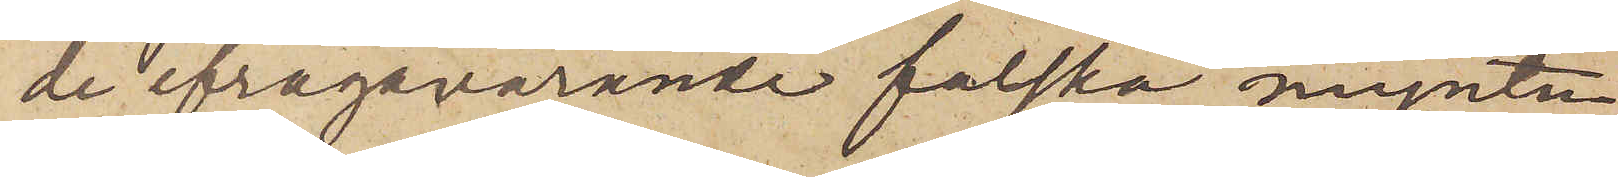de ifrågavarande falska mynten
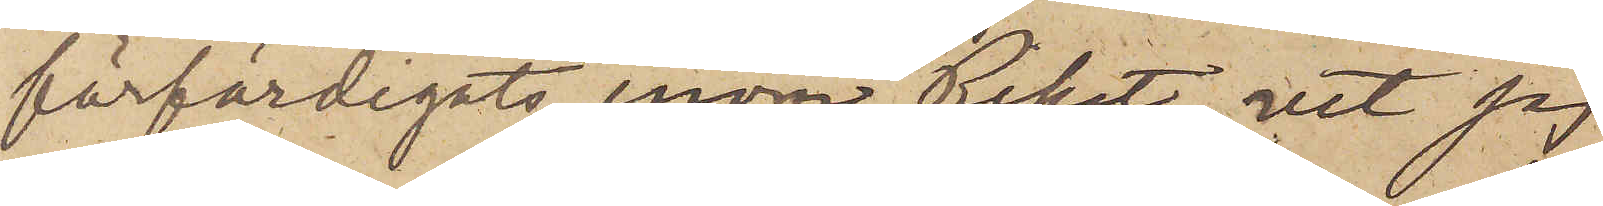förfärdigats inom Riket, vet jag
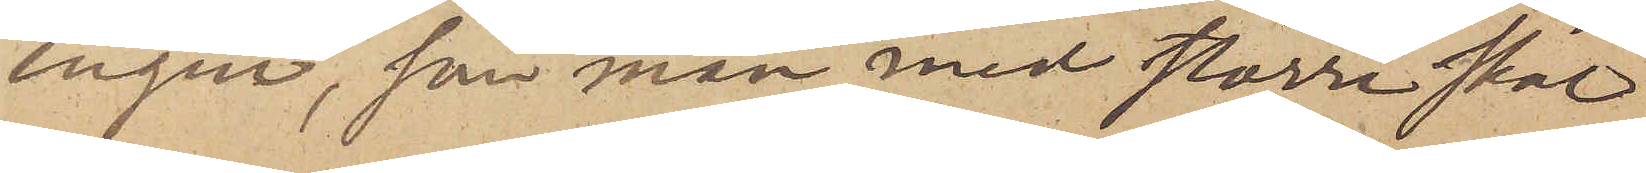ingen, som man med större skäl
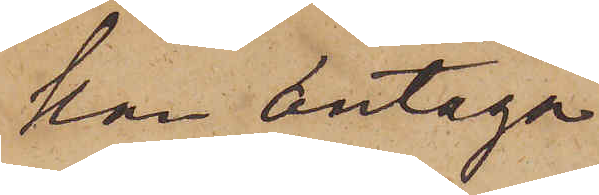kan antaga
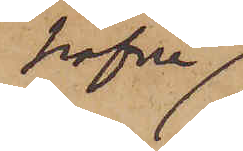hafva
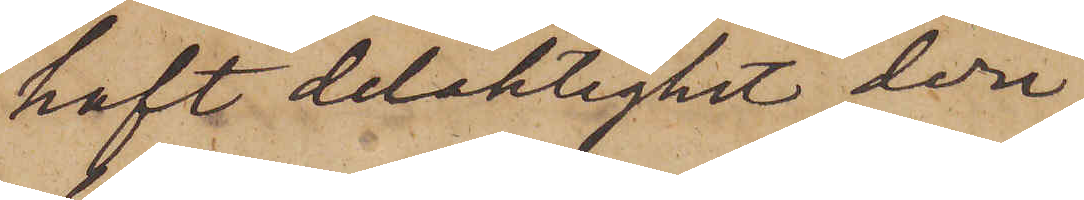haft delaktighet deri
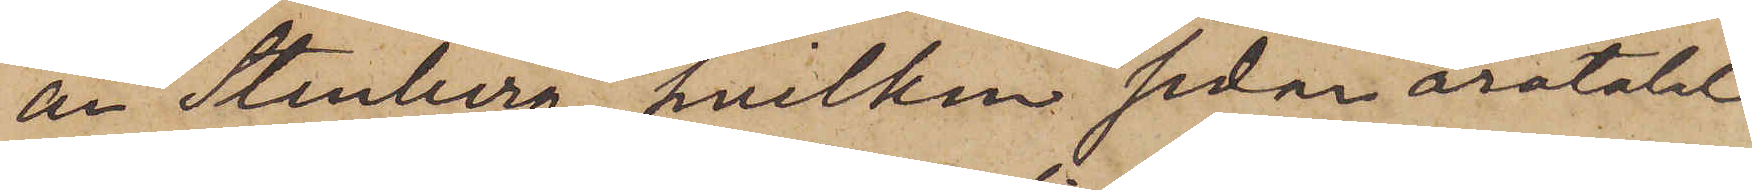än Stenberg, hvilken sedan åratalet
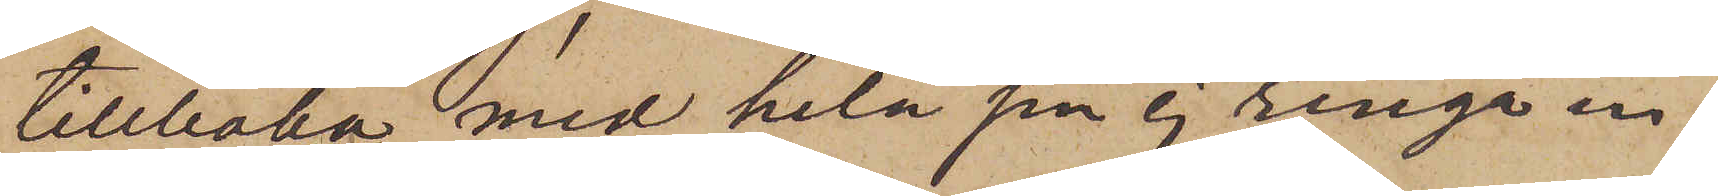tillbaka med hela sin ej ringa in¬
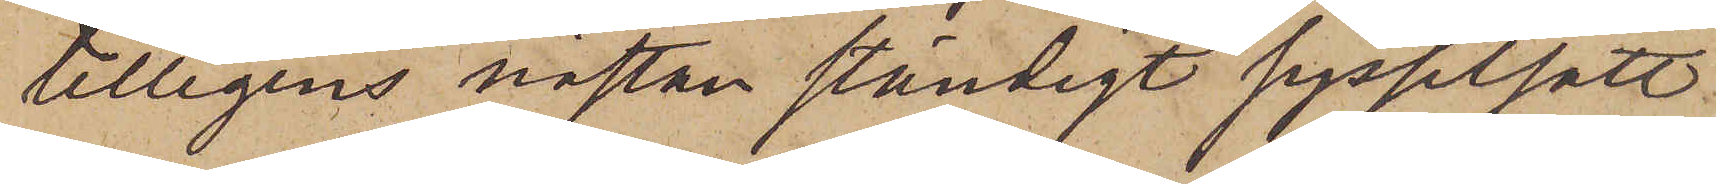tilligens nästan ständigt sysselsatt
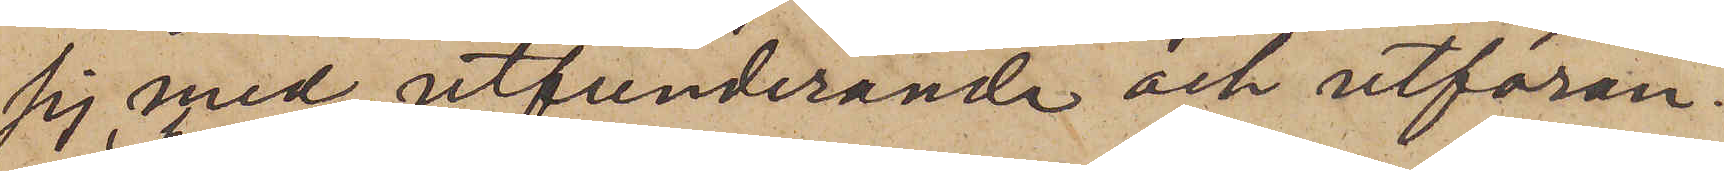sg med utfunderande och utföran¬
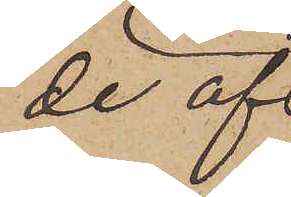de af
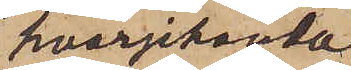hvarjehanda
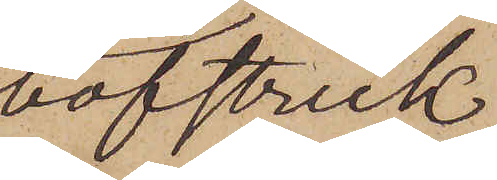bofstreck
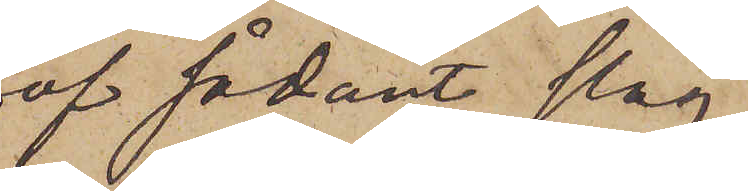af sådant slag,
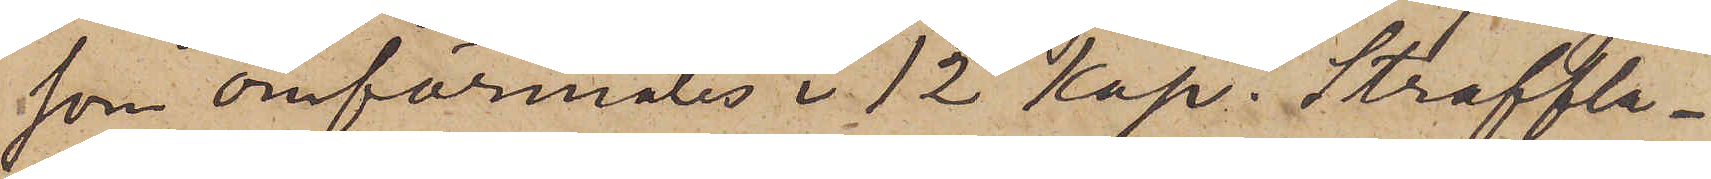som omförmäles i 12 kap. Straffla¬
